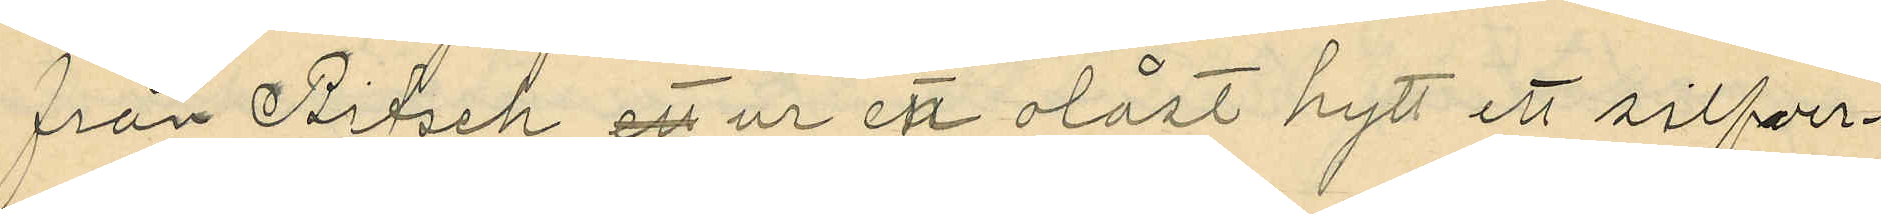från Bitsch ett ur en olåst hytt ett silfver¬
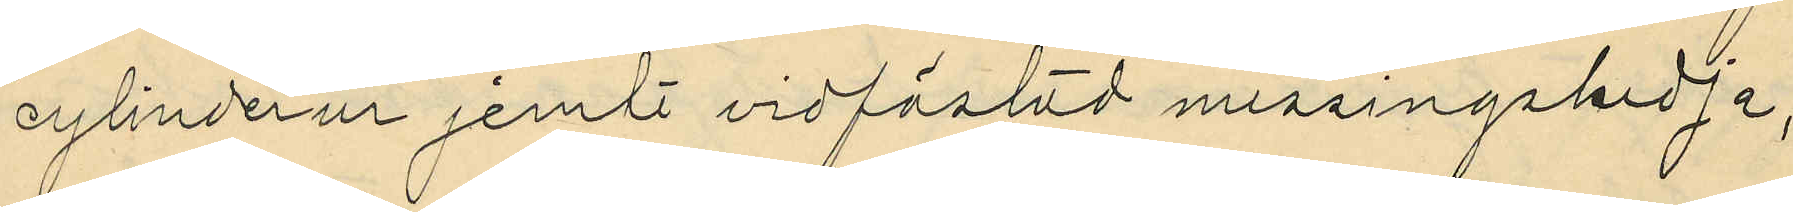cylinderur jemte vidfästad messingskedja,
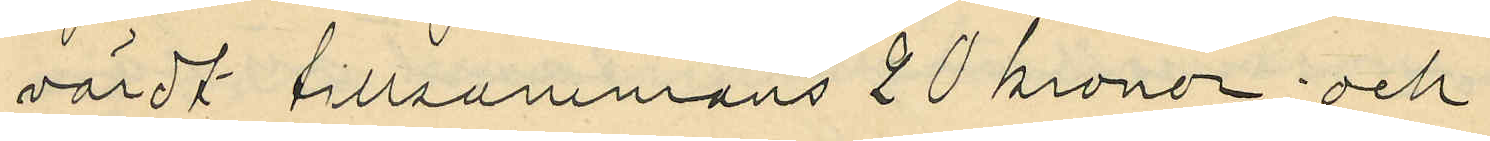värdt tillsammans 20 kronor; och
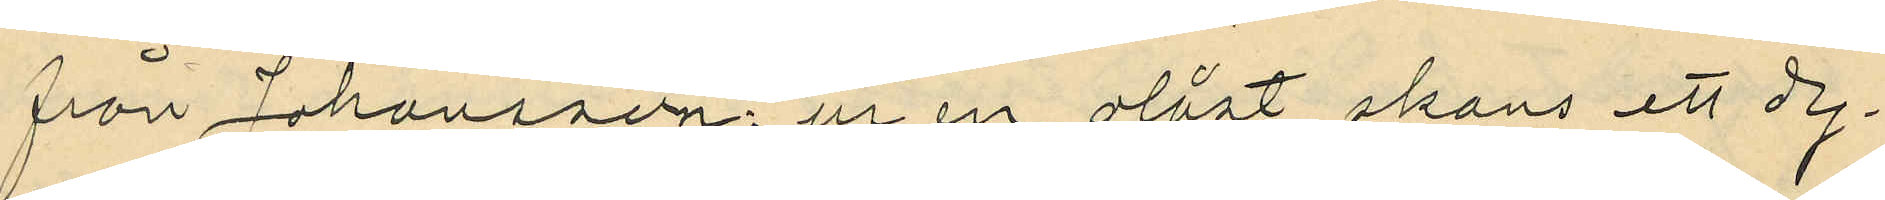från Johansson: ur en olåst skans ett dy¬
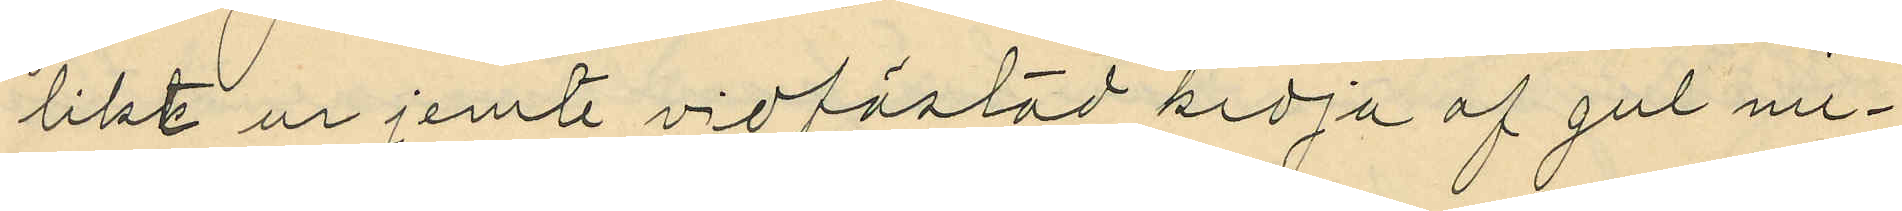likt ur jemte vidfästad kedja af gul me¬
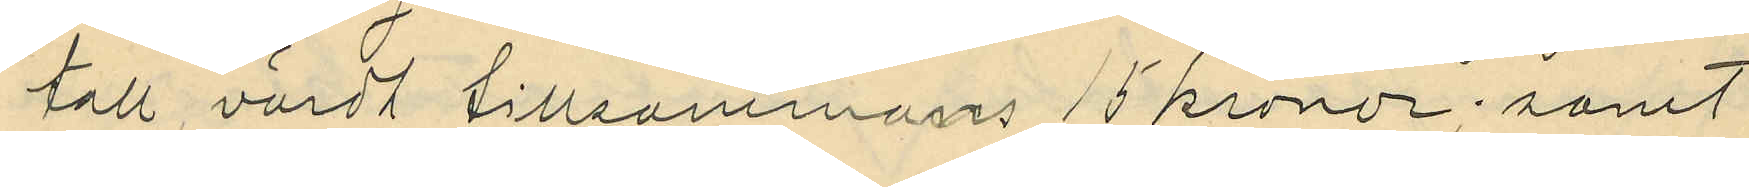tall, värdt tillsammans 15 kronor; samt
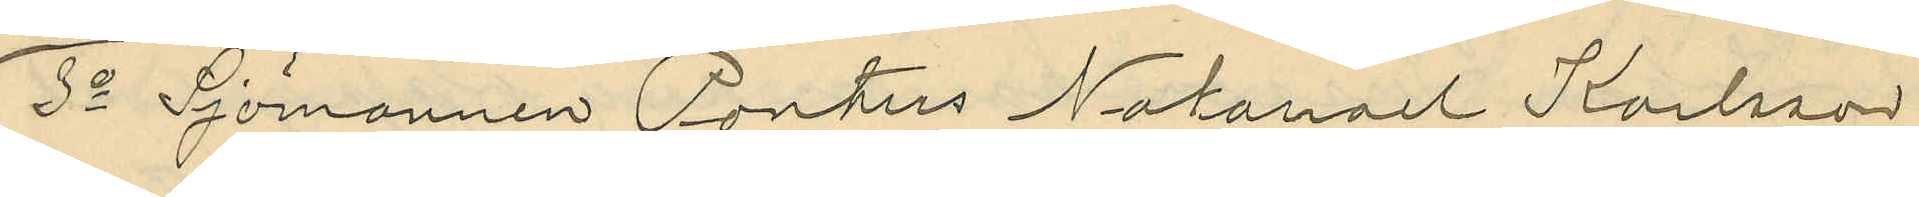3o Sjömannen Pontus Natanael Karlsson
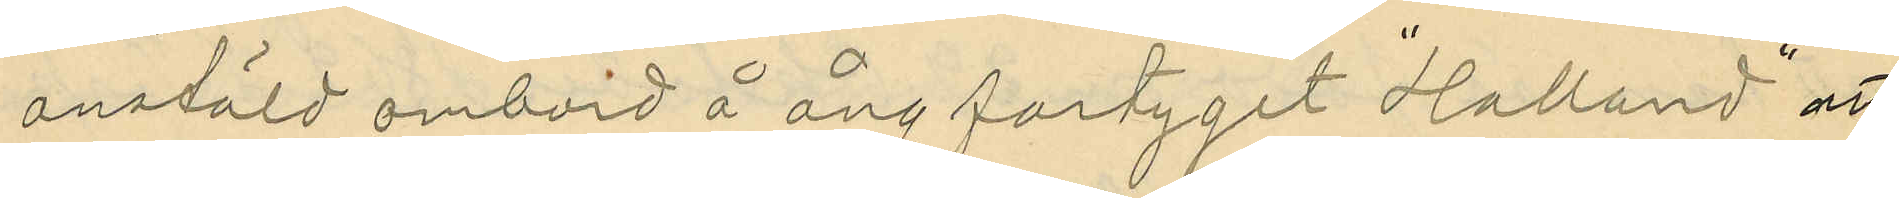anstäld ombord å ångfartyget "Halland" att
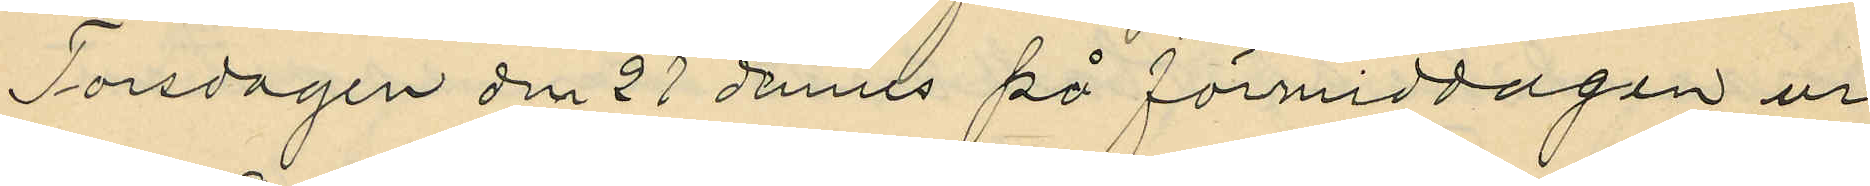Torsdagen den 21 dennes på förmiddagen ur
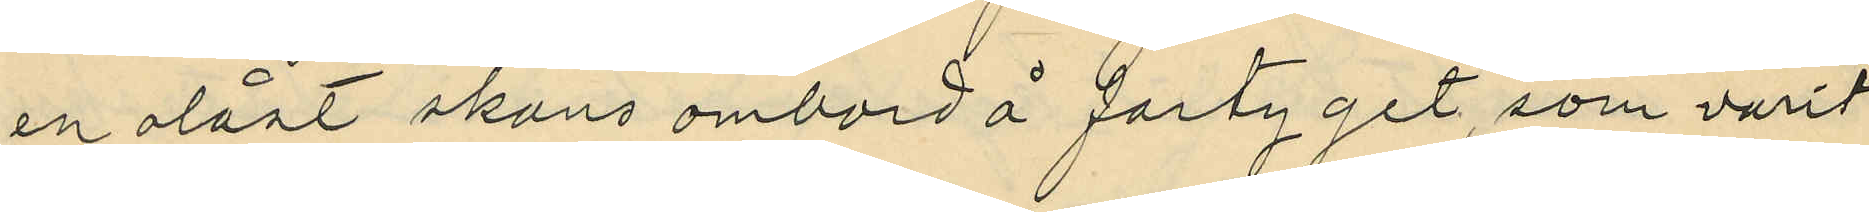en olåst skans ombord å fartyget, som varit
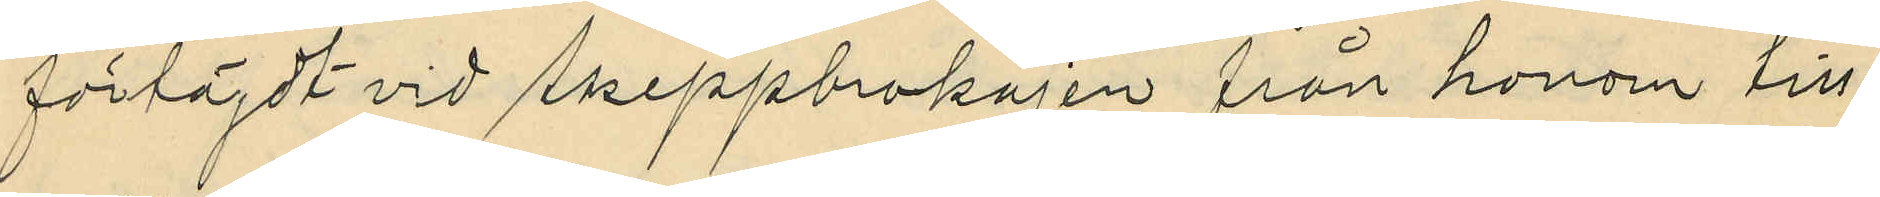förföjdt vid Skeppbrokajen från honom till¬
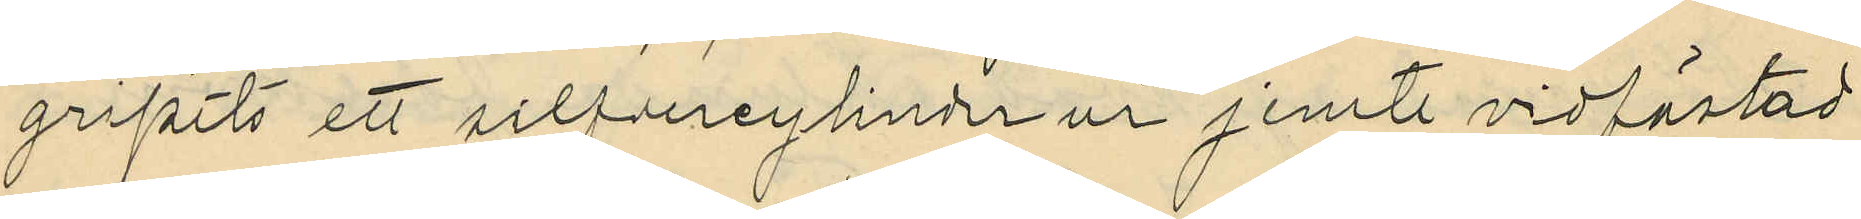gripits ett silfvercylinderur jemte vidfästad
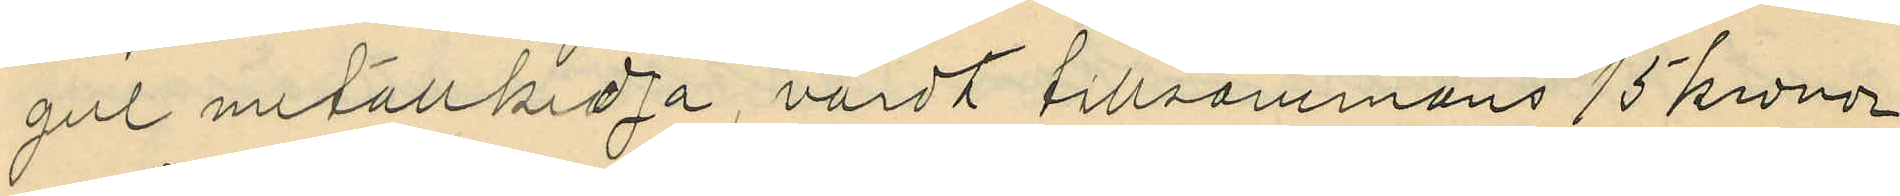gul metallkedja, värdt tillsammans 15 kronor
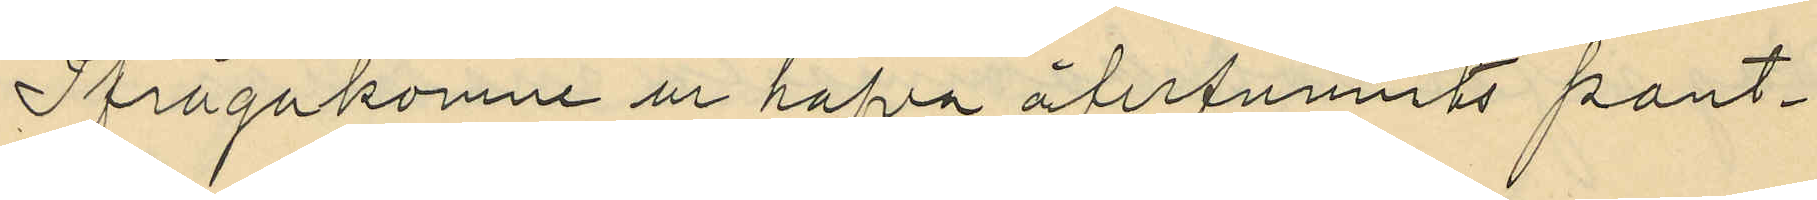Ifrågakomne ur hafva återfunnits pant¬
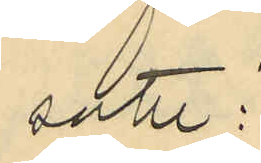satte:
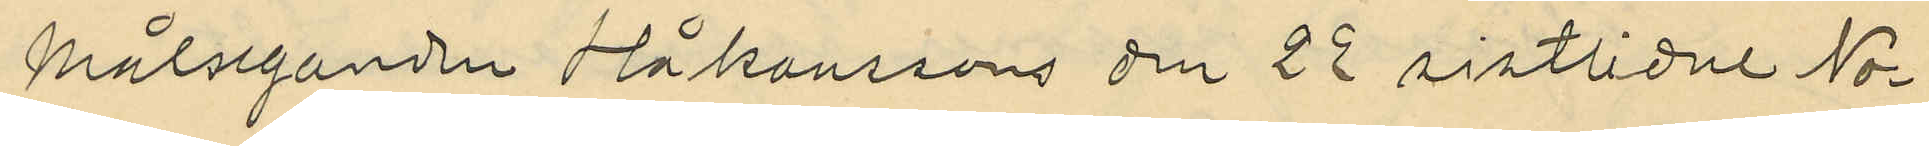Målseganden Håkanssons den 22 sistlidne No¬
